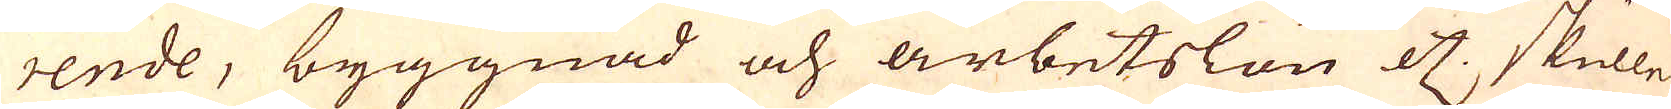rende, byggnad och arbetslön etc: skulle
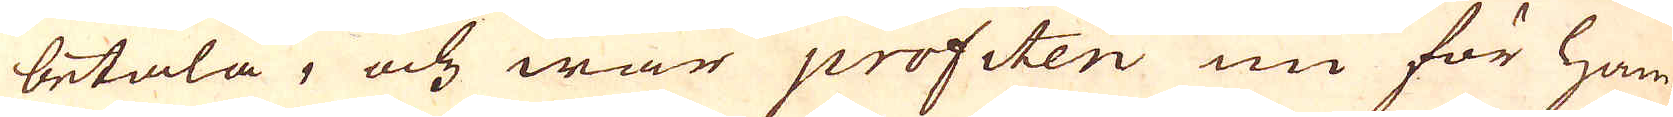betala, och war profiten nu för ham-
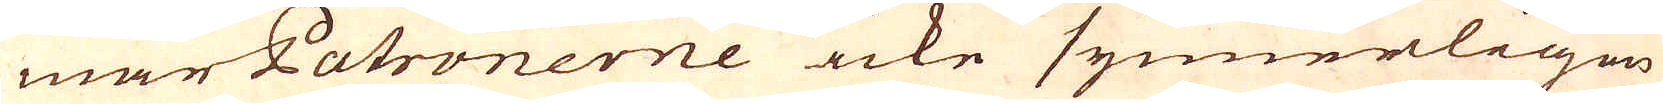mar Patronerne icke synnerligen
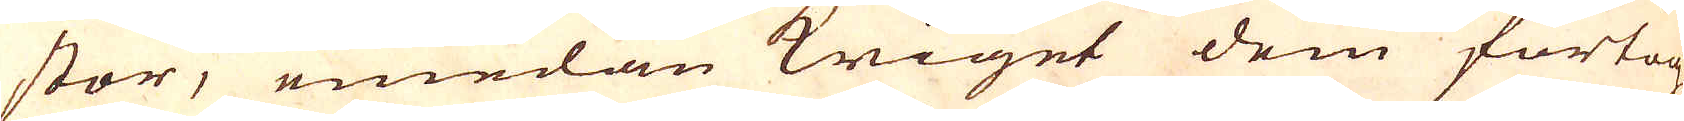stor, emedan kriget dem förtog
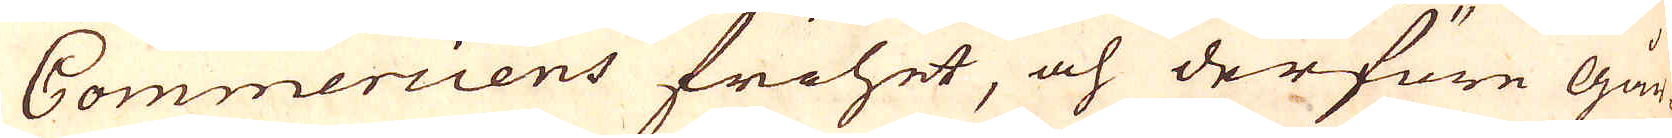Commerciens frihet, och derföre går-
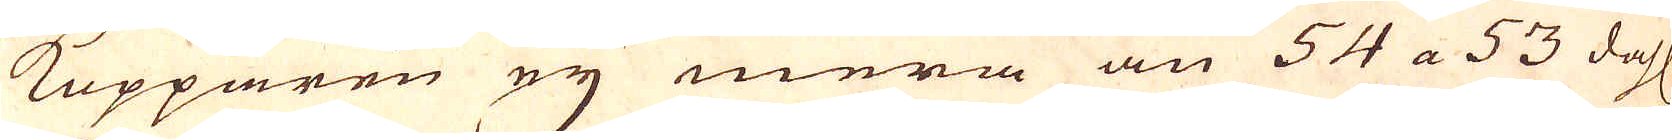kopparen ey mera än 54 a 53 dahl
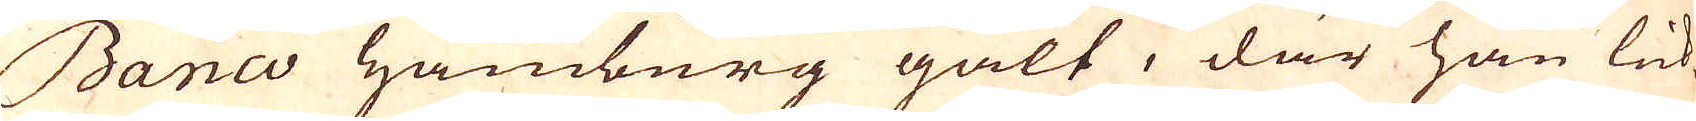Banco Hamburg galt, där han lik-
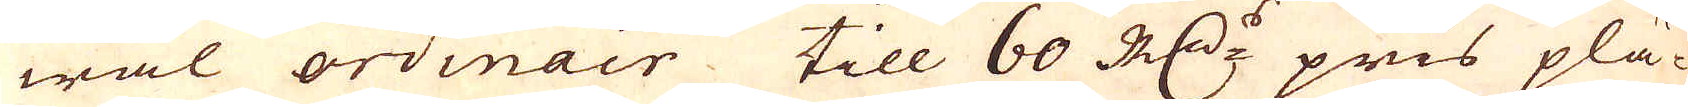wäl ordinair till 60 R:dr: pris plä-
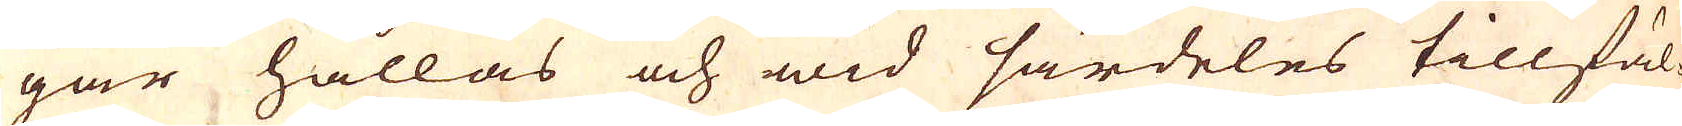gar hållas och wid särdeles tillfäl-
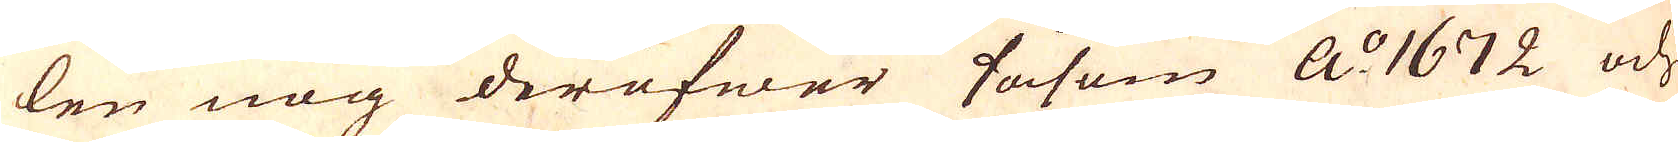len nog deröfwer såsom A:o 1672 och
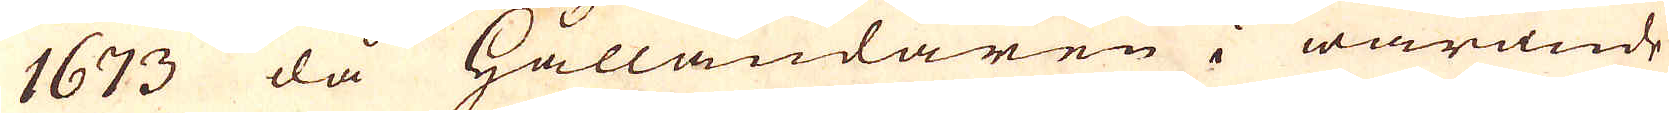1673 då Hålländaren i warande
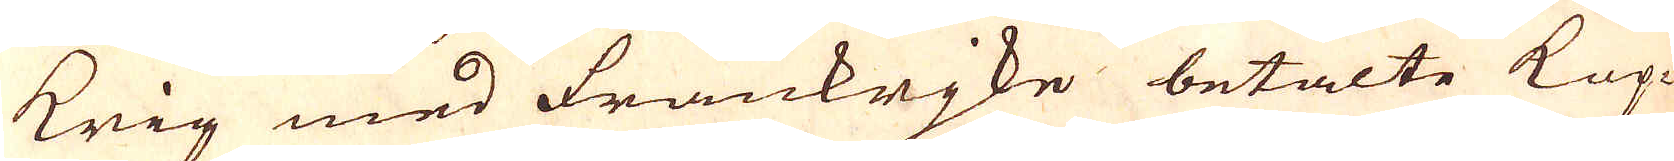krig med Frankrjke betalte Kop-
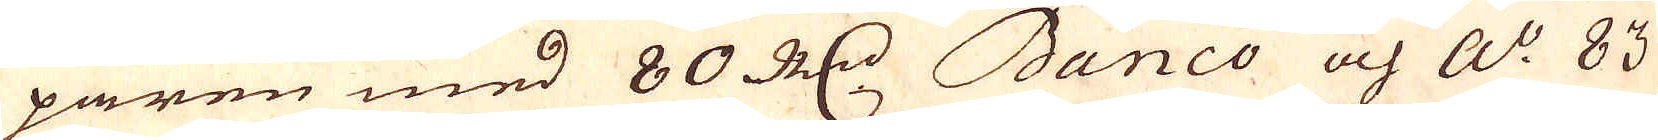paren med 80 R:dr Banco och a:o 83
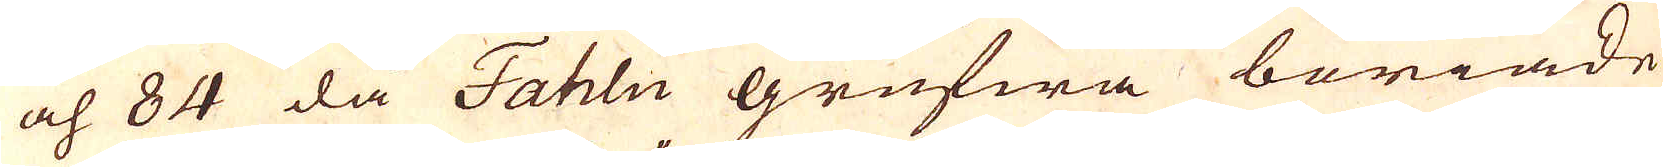och 84 då Fahlu grufwa böriade
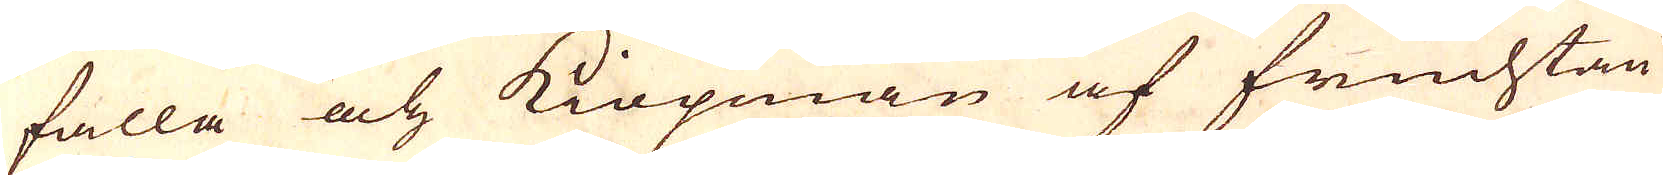falla och Kiöpman af fruchtan
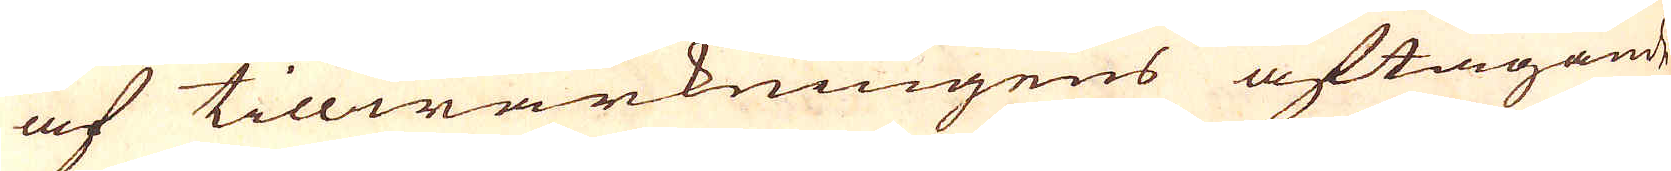af tillwärkningens aftagande
